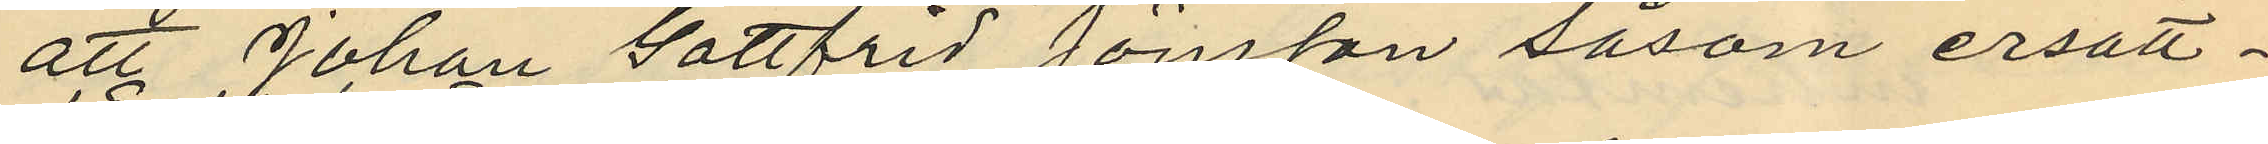att Johan Gottfrid Jönsson såsom ersätt¬
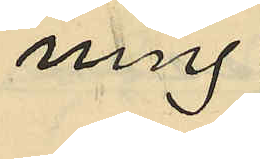ning
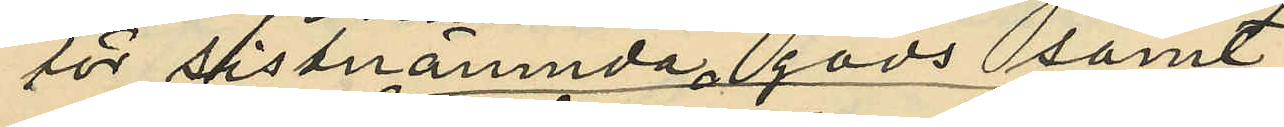för sistnämnda gods samt
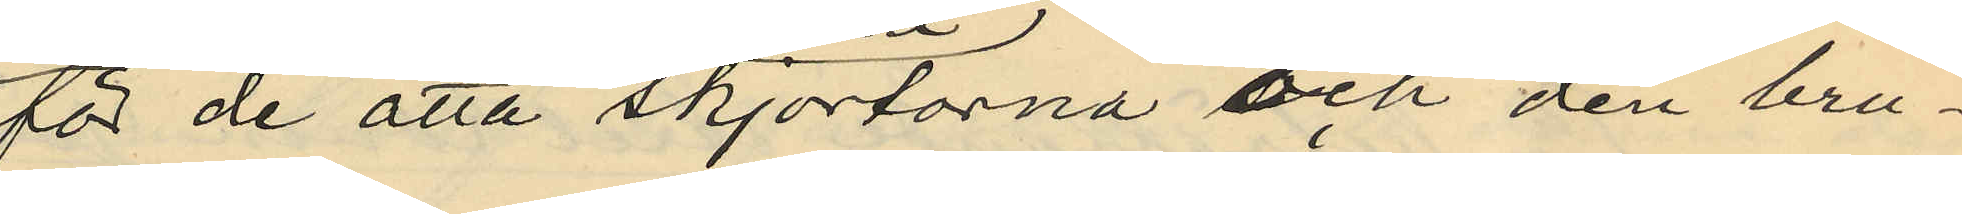för de åtta skjortorna och den bru¬
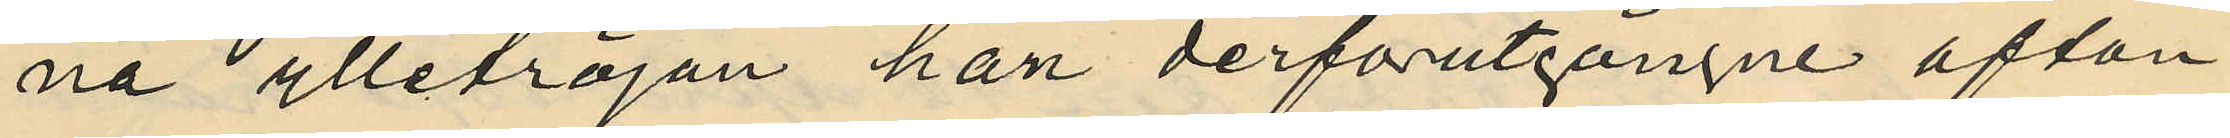na ylletröjan han derförutgångne afton
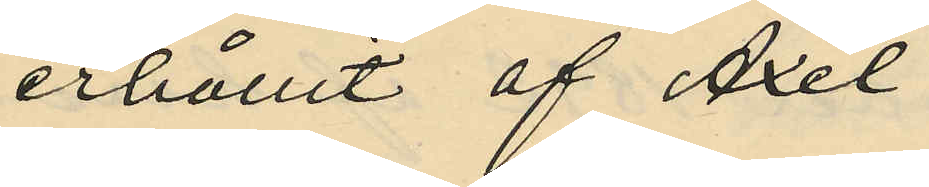erhållit af Axel
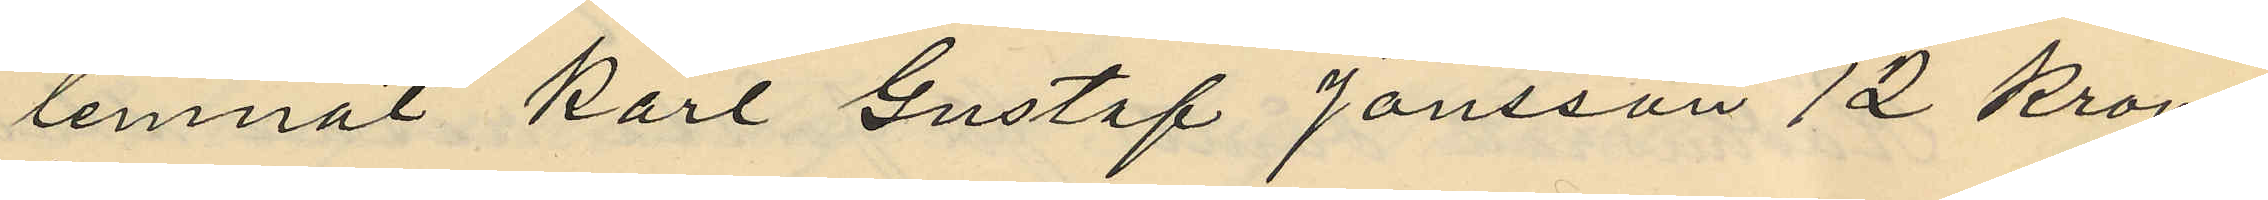lemnat Karl Gustaf Jönsson 12 Kronor;
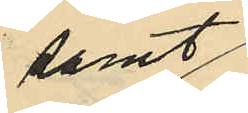samt
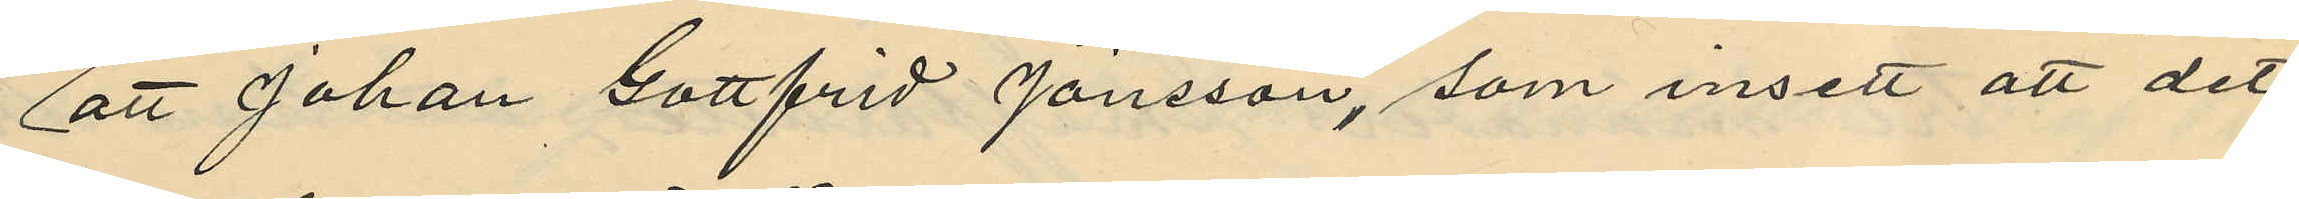att Johan Gottfrid Jönsson, som insett att det
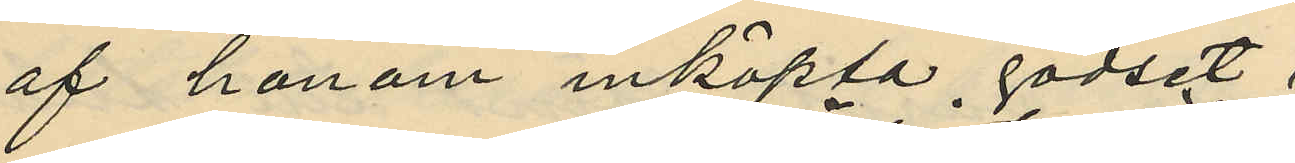af honom inköpta godset
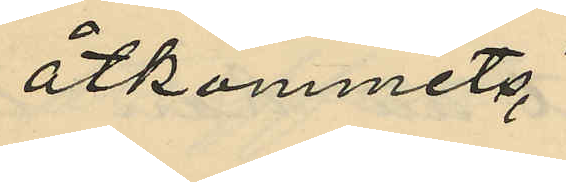åtkommits
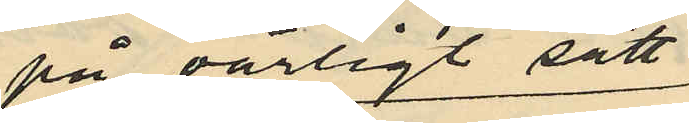på oärligt sätt
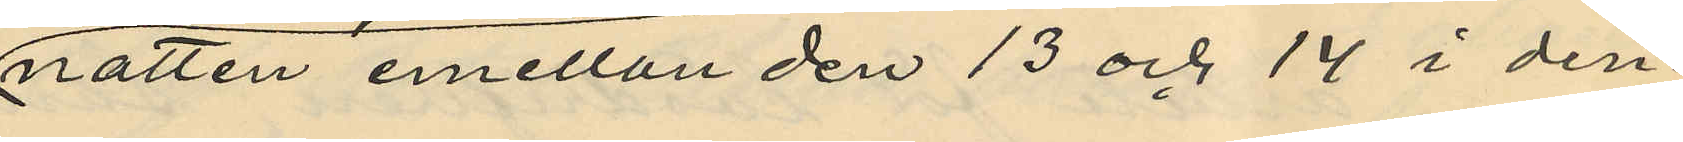natten emellan den 13 och 14 i den¬
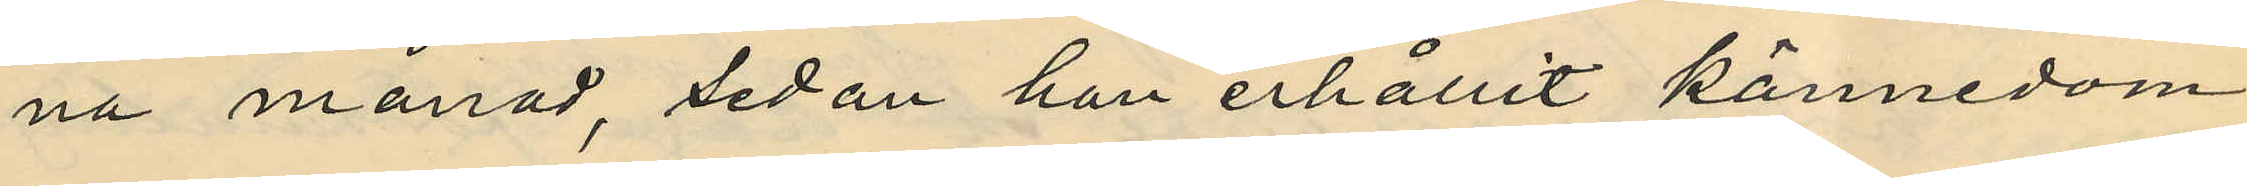na månad, sedan han erhållit kännedom
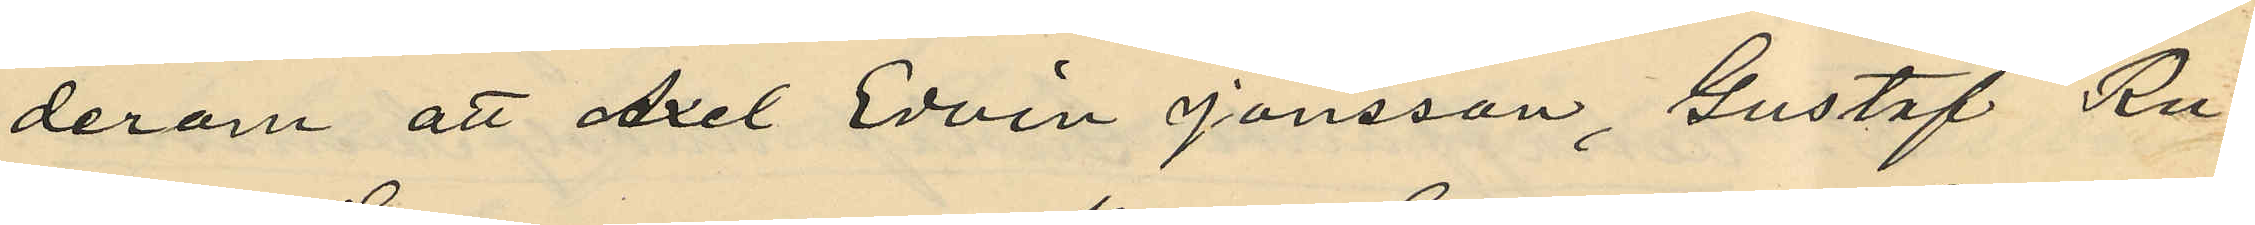derom att Axel Edvin Jönsson, Gustaf Ru¬
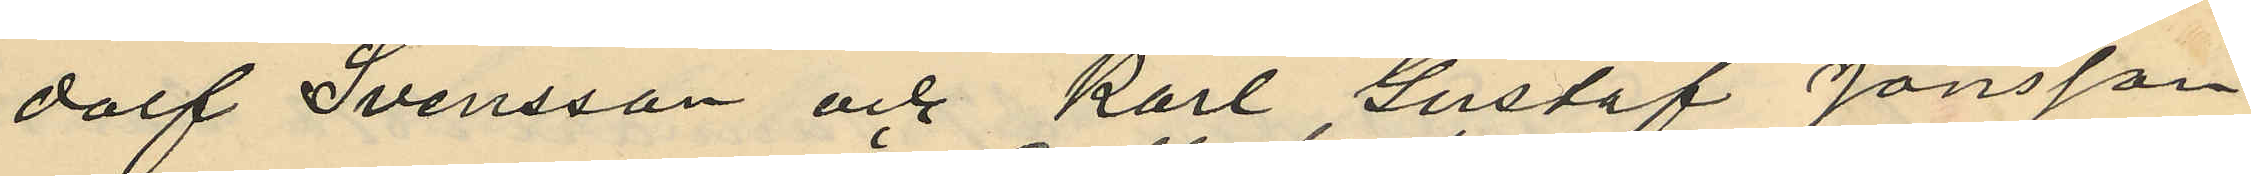dalf Svensson och Karl Gustaf Jönsson
